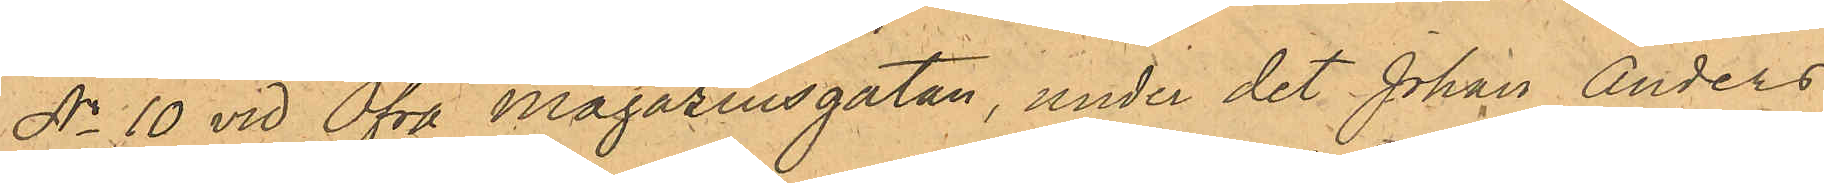No 10 vid Öfra Magazinsgatan, under det Johan Anders¬
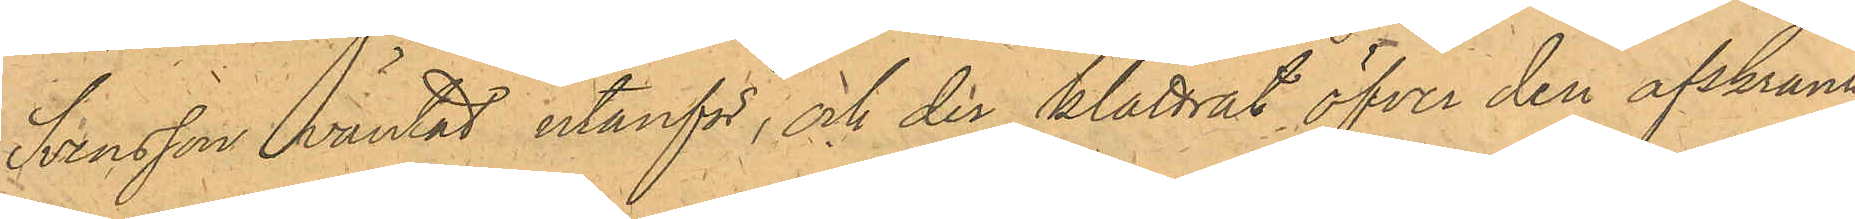Svensson väntat utanför, och der klättrat öfver den afskrank¬
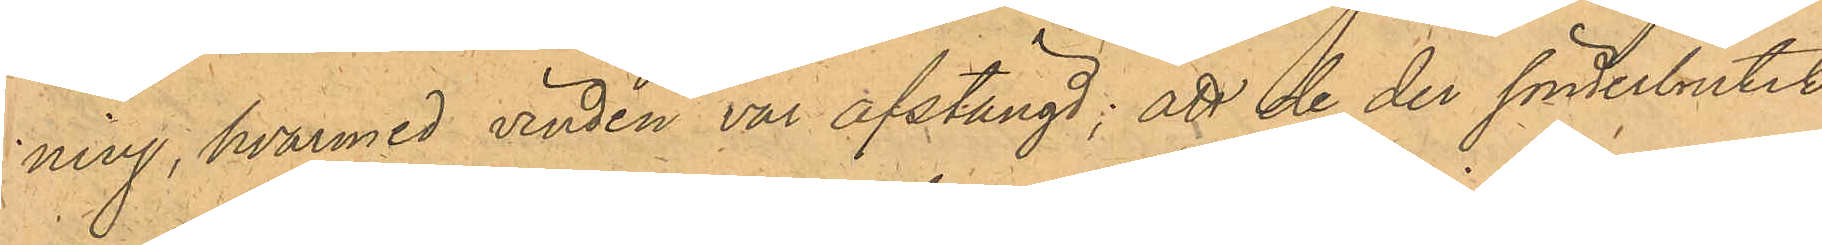ning, hvarmed vinden var afstängd; att de der sönderbrutit
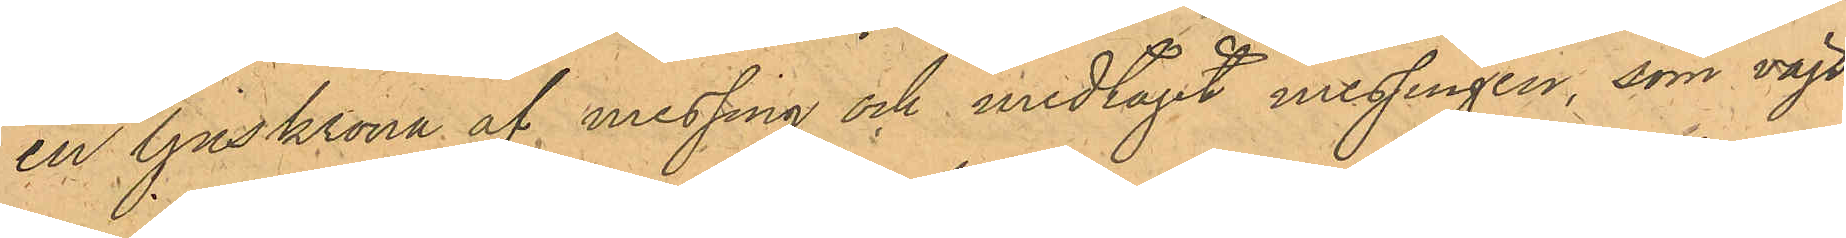en ljuskrona af messing och medtagit messingen, som vägt
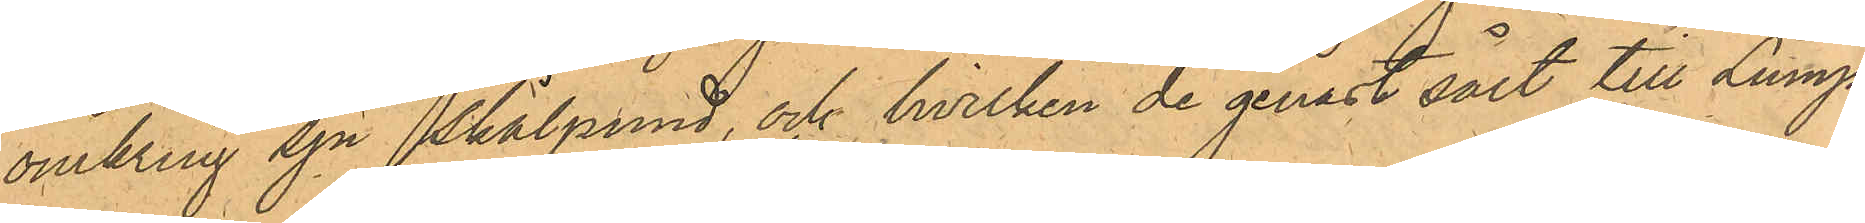omkring sju skålpund, och hvilken de genast sålt till Lump¬
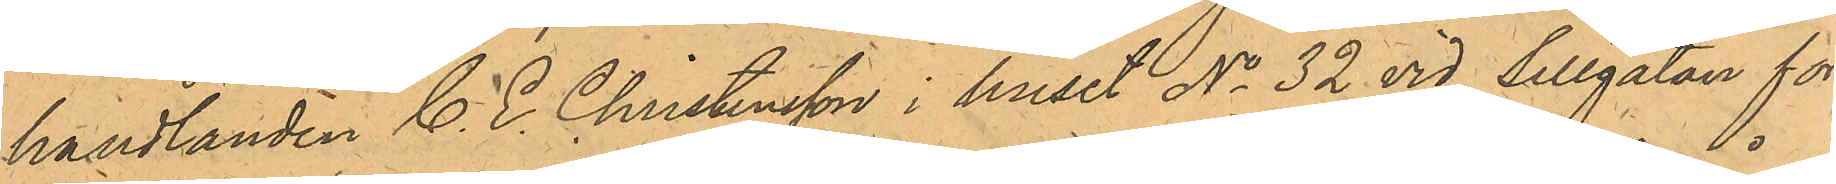handlanden C. E. Christensson i huset No 32 vid Sillgatan för
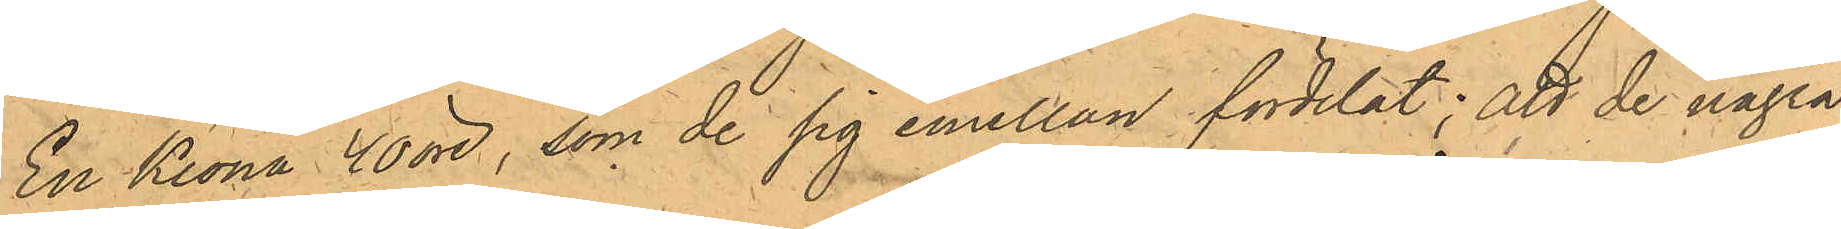En Krona 40 öre, som de sig emellan fördelat; att de några
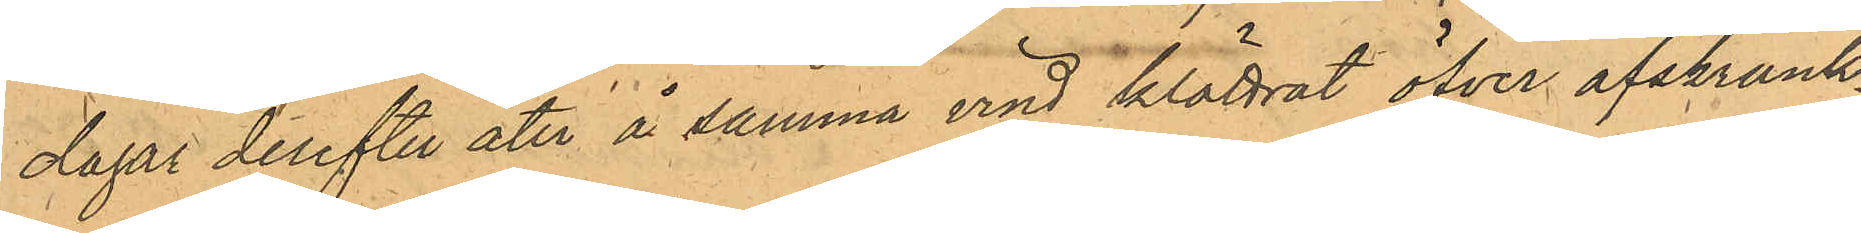dagar derefter åter å samma vind klättrat öfver afskrank¬
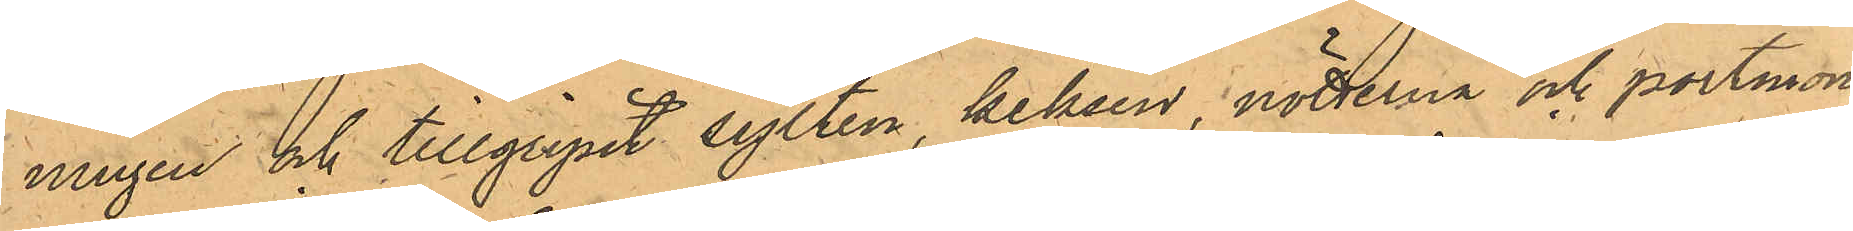ningen och tillgripit sylten, keksen, nötterna och portmon¬
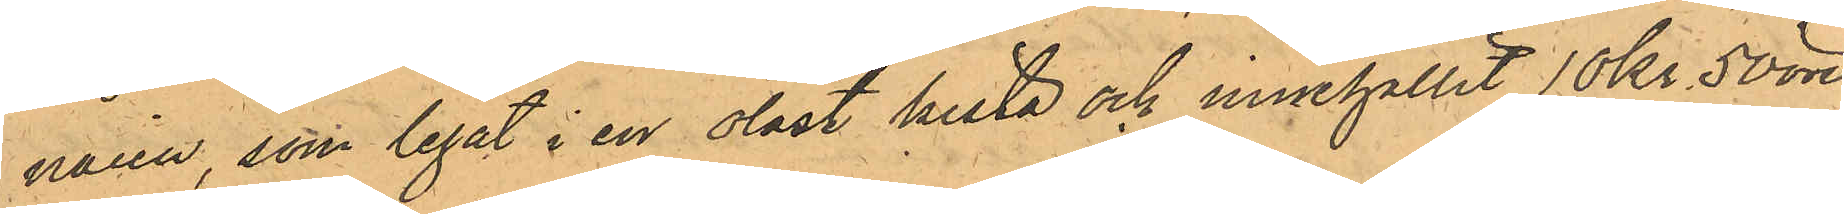naien, som legat i en olåst kista och innehållit 10 Kr 50 öre
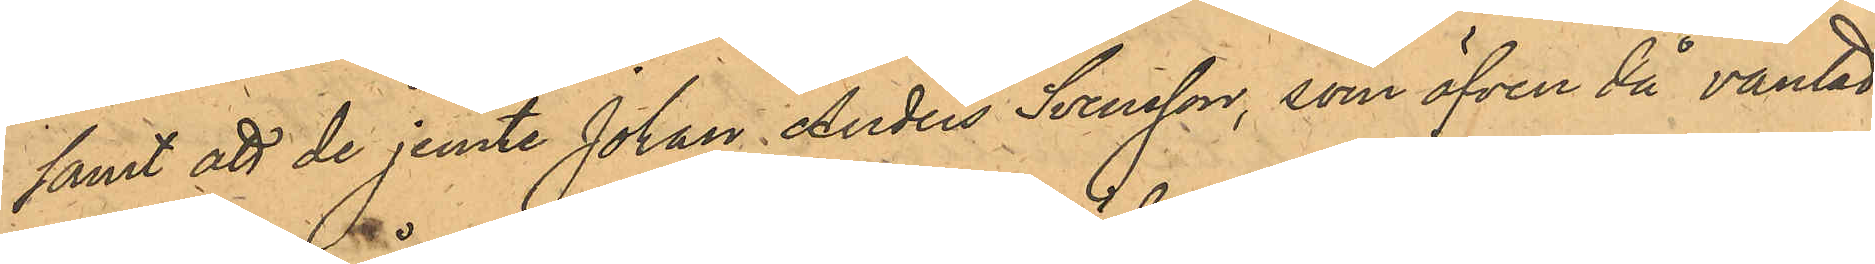samt att de jemte Johan Anders Svensson, som äfven då väntat
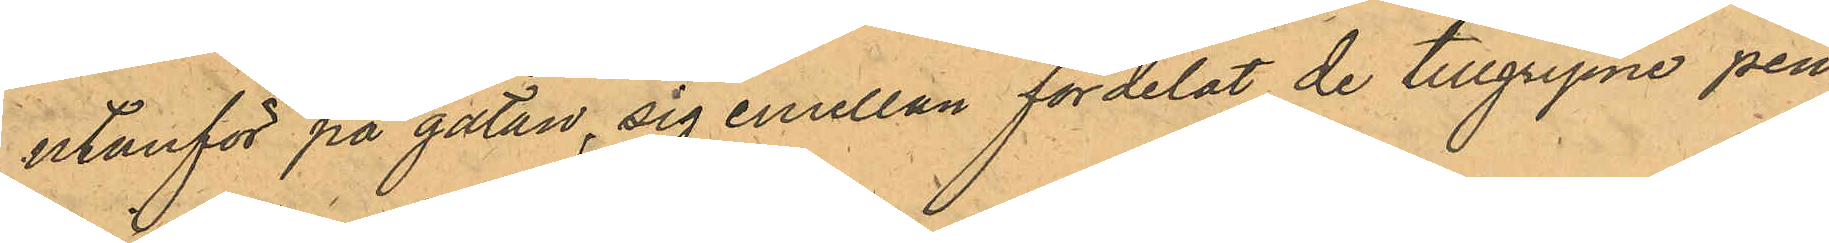utanför på gatan, sig emellan fördelat de tillgripne pen¬
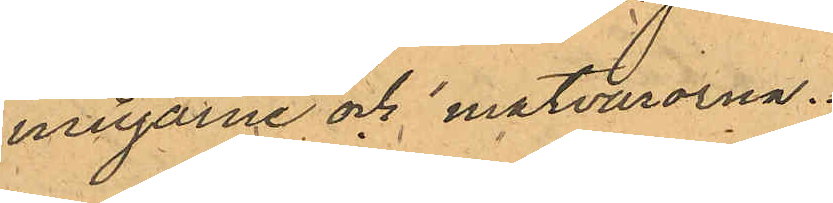ningarne och matvarorna.
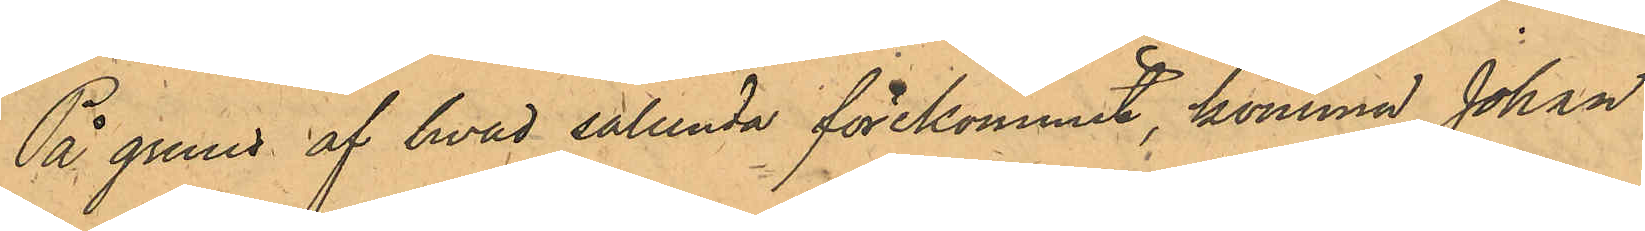På grund af hvad sålunda förekommit, komma Johan
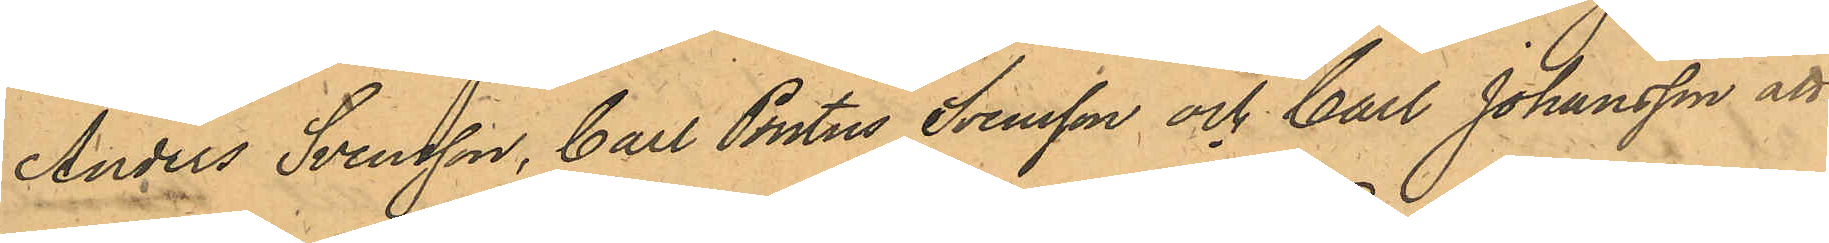Anders Svensson, Carl Pontus Svensson och Carl Johansson att
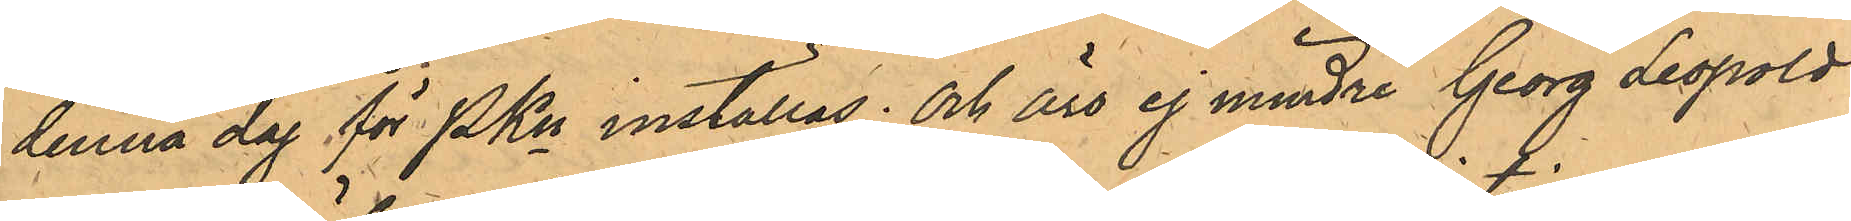denna dag för PKn inställas; och äro ej mindre Georg Leopold
